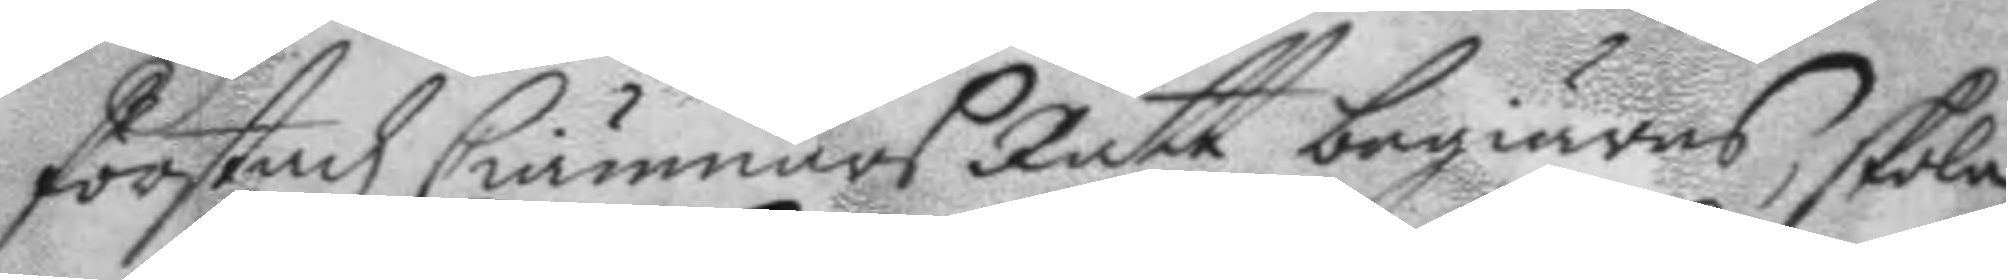förstadz Ciämners Rätt begiäras, skola
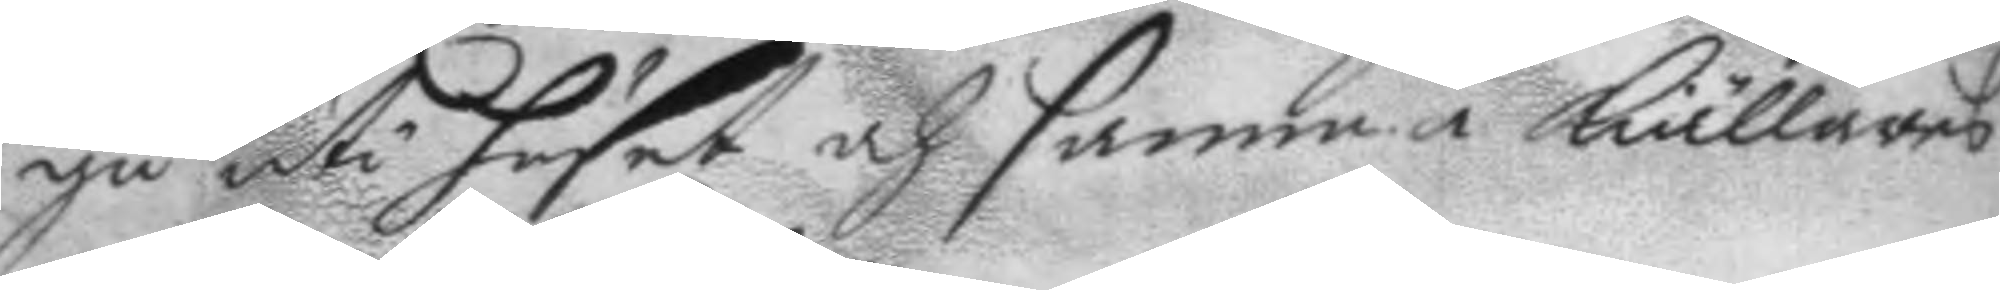gå uti huset och samma Källares
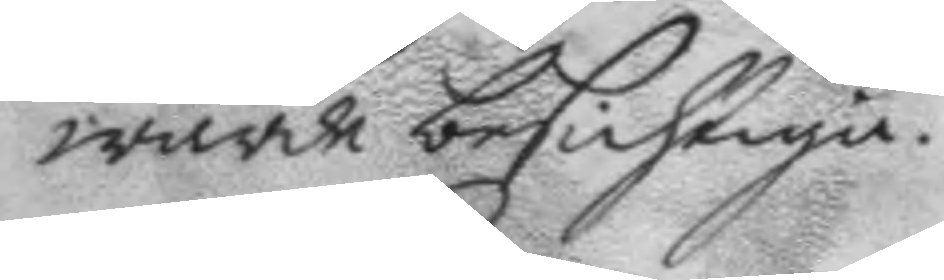wärde besichtiga.
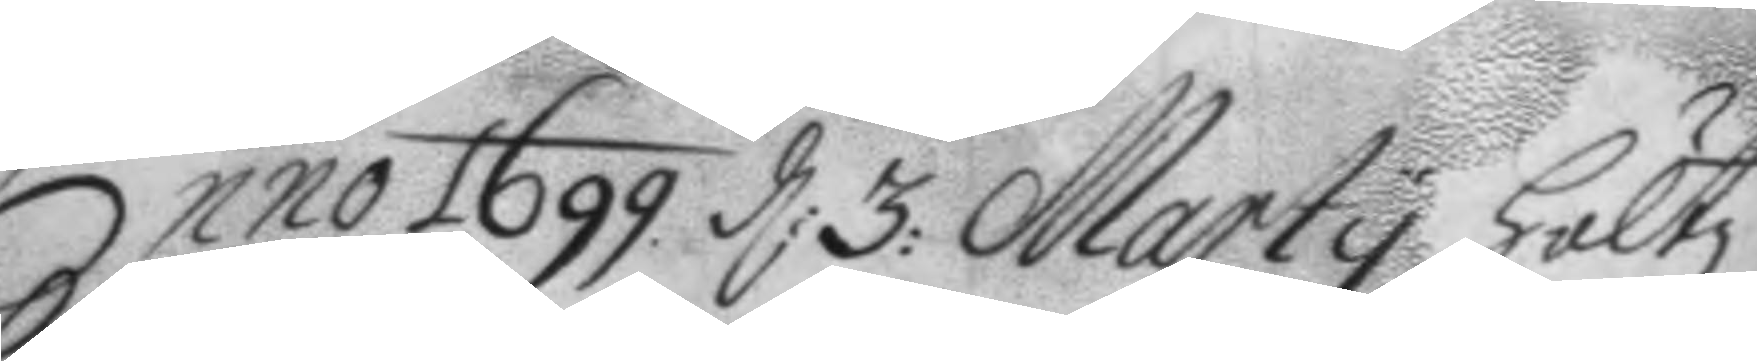Anno 1699 d: 3: Marty höltz
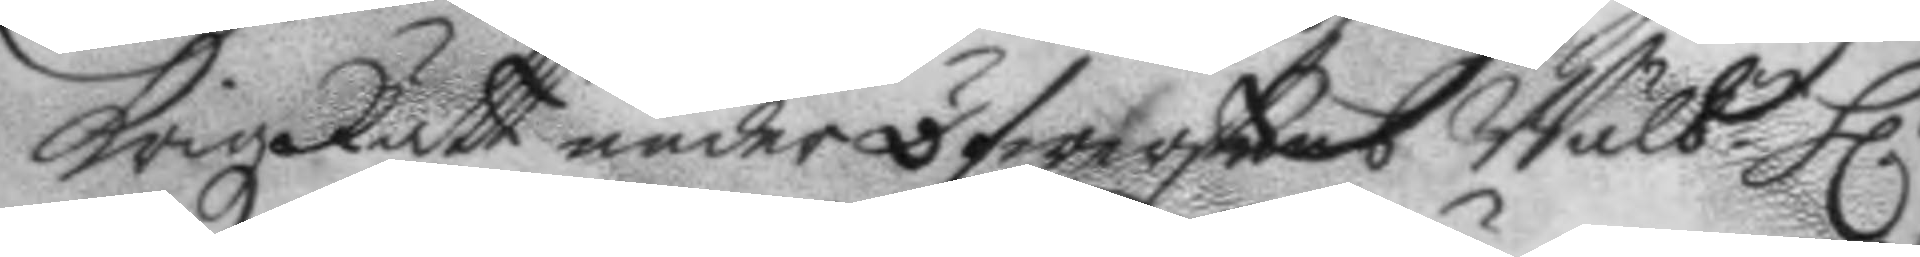KrigzRätt under öfwerstens Wälb. h.r
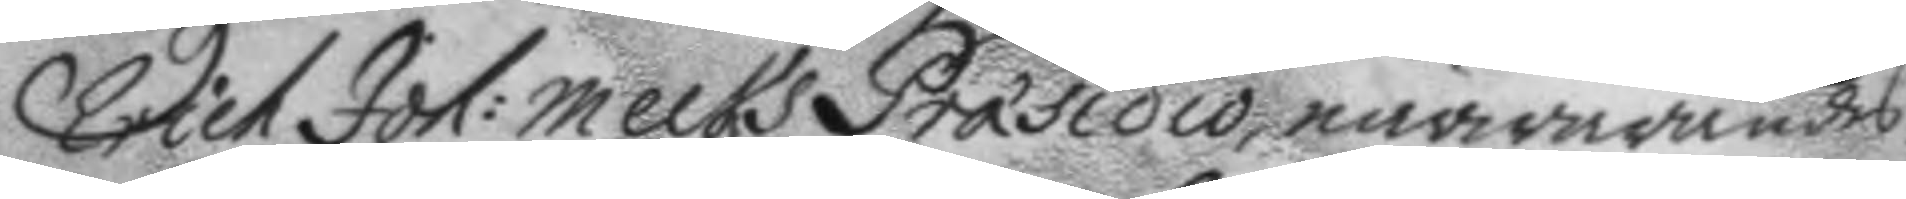Erich Joh: Melks Præsidio, närwarandes.
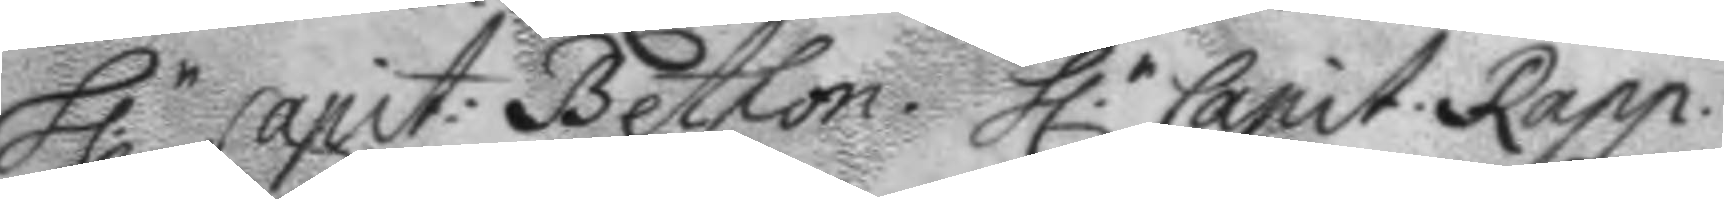h.r Capit: Bethon. h.r Capit. Rapp.
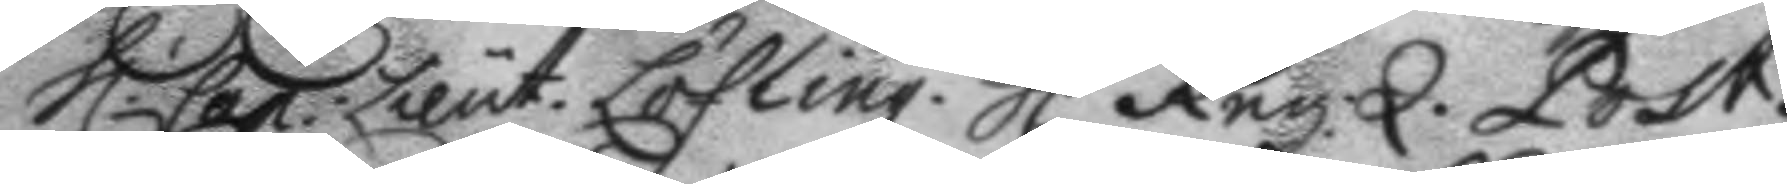h.r Cap: Lieut. Löfling. h.r Reg:Q. Post.
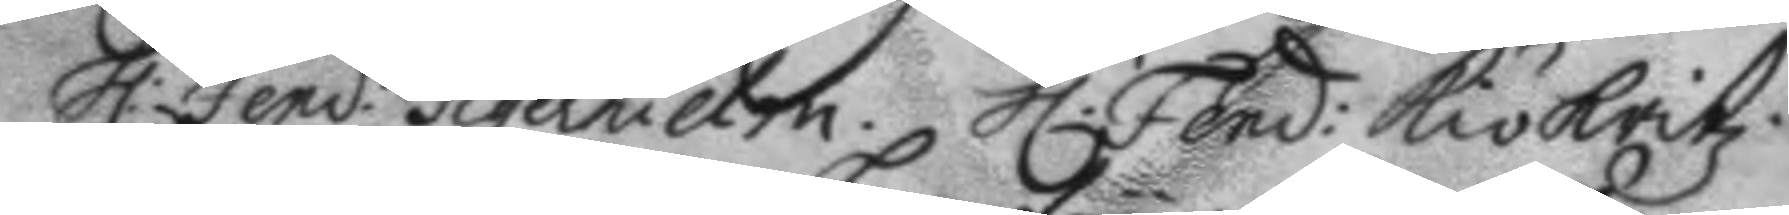h.r Fend: Tigerhielm. h.r Fend: Kiökritz.
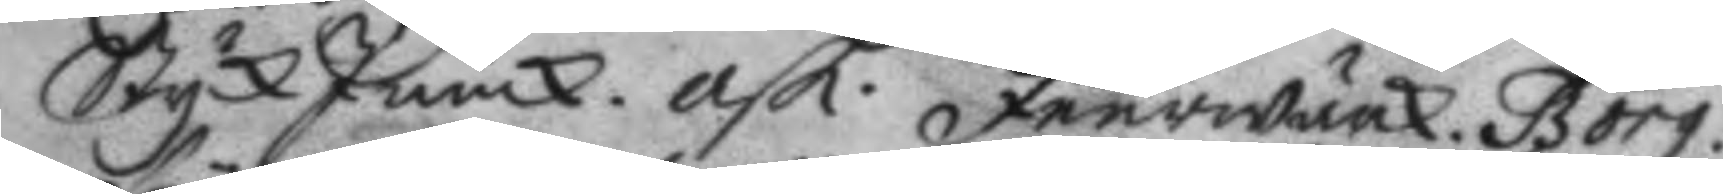StyckJunck. ask. feurwärk. Borg.
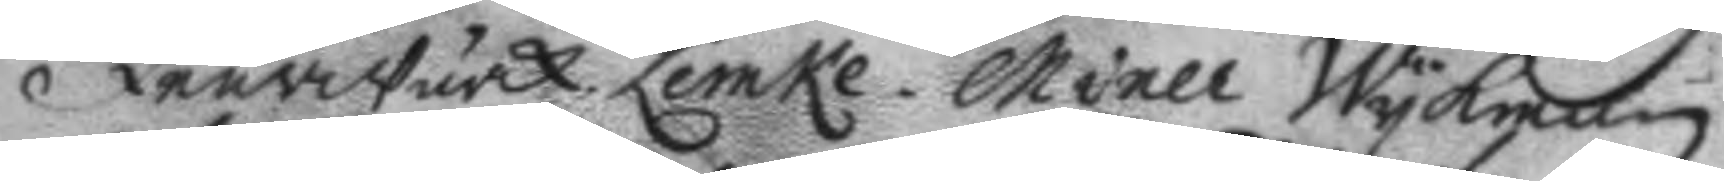feurwärk. Lemke. Miner Wykman.
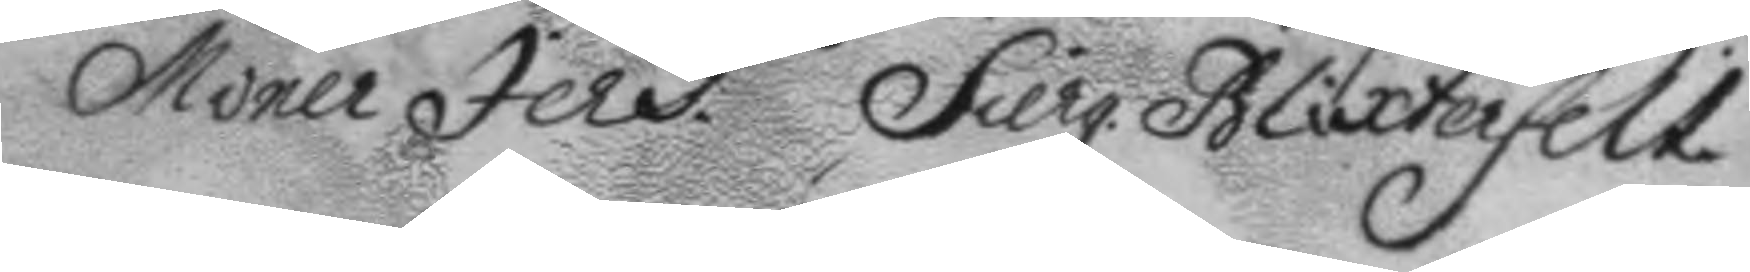Miner Jers. Sierg. Blixterfelt.
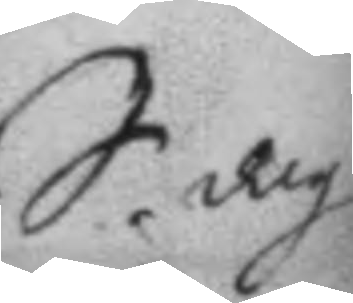S. dag
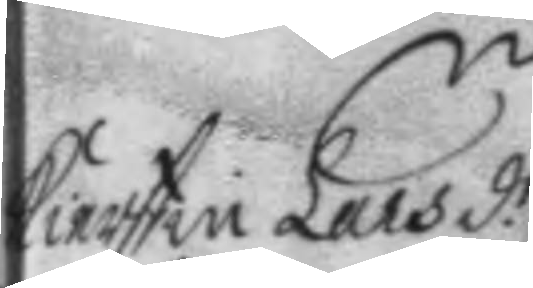Kierstin Lars d.r
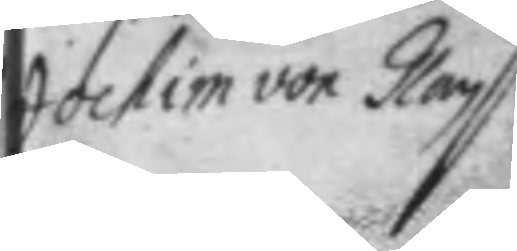Jochim von Glan
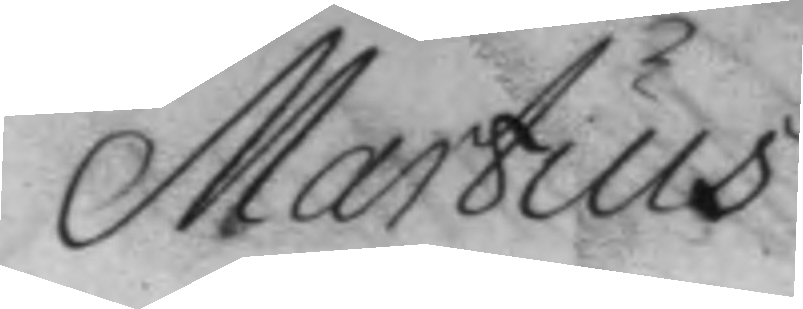Martius
